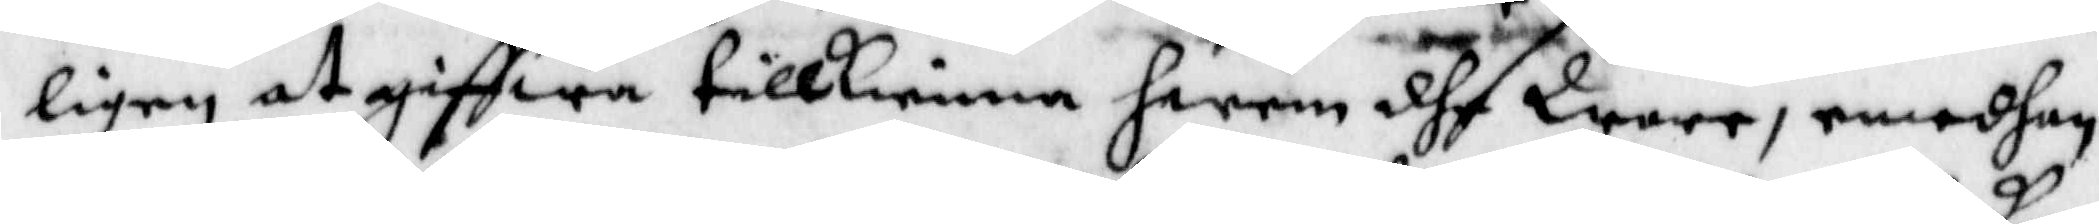ligen at giffwa tillkienna hwem dhe Ware, emedhan
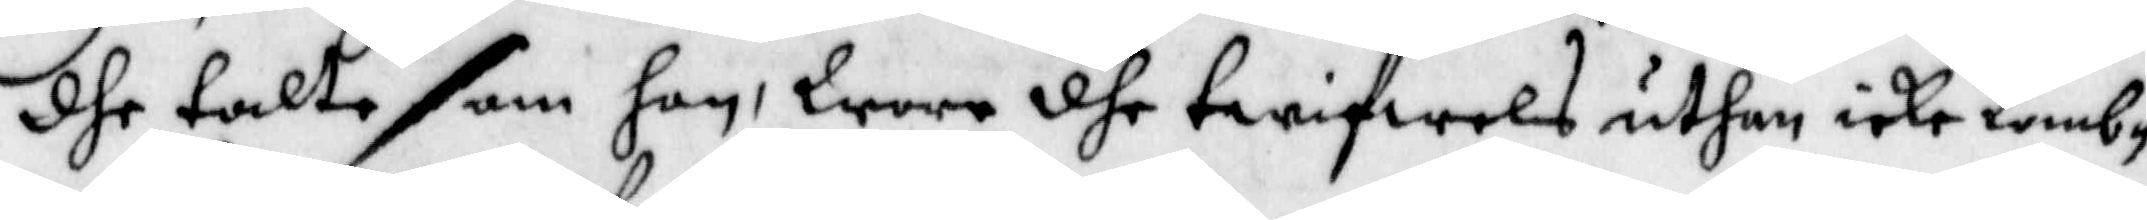dhe talte som hon, Wore dhe twifwels uthan icke komb¬
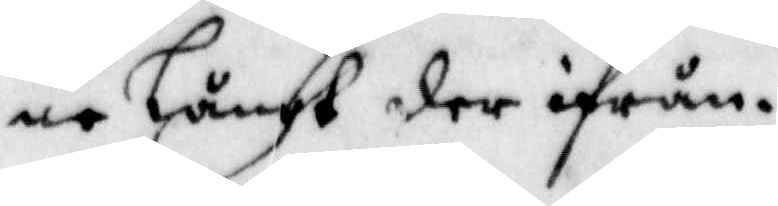ne Långt der ifrån.
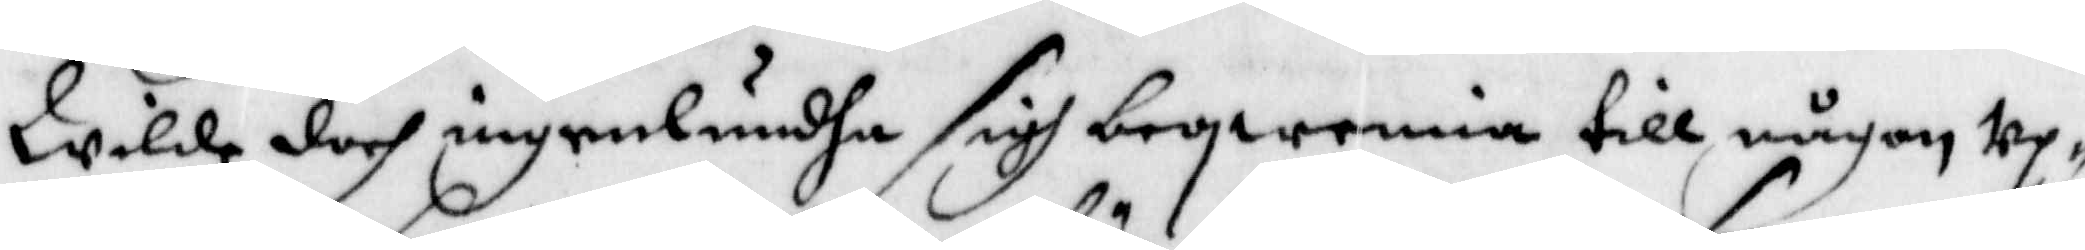Wilde doch ingenlundha sigh beqwemia till någon Up¬
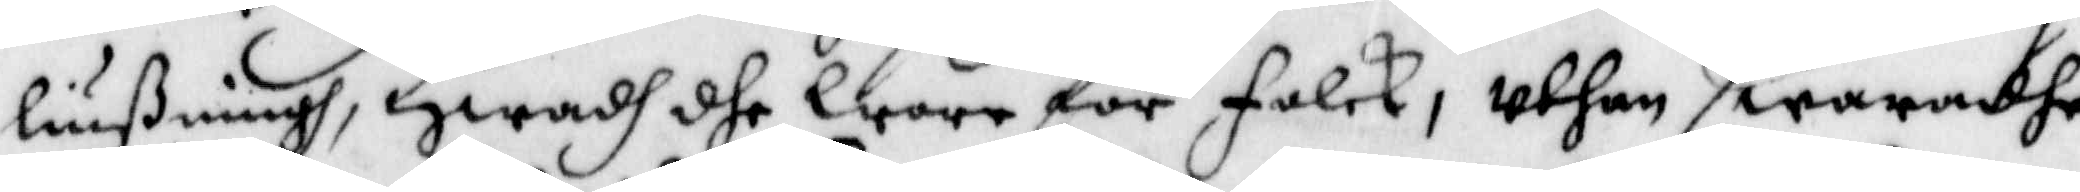liußningh, Hwadh dhe Wore för folck, Uthan swaradhe
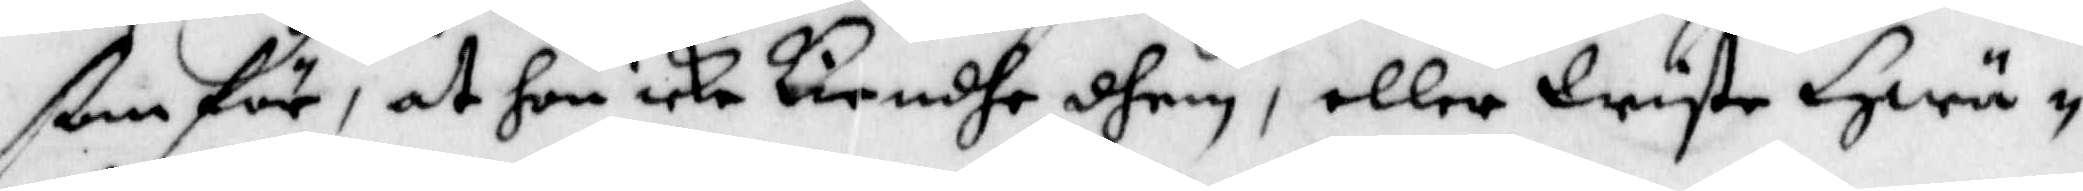ßom för, at hon icke kiendhe dhem, eller Wyste Hwä¬
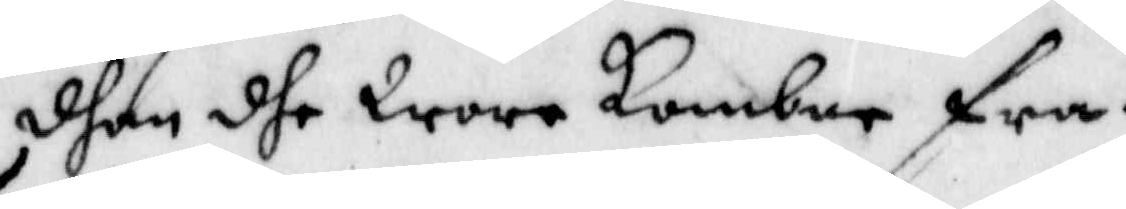dhan dhe Wore kombne fra.
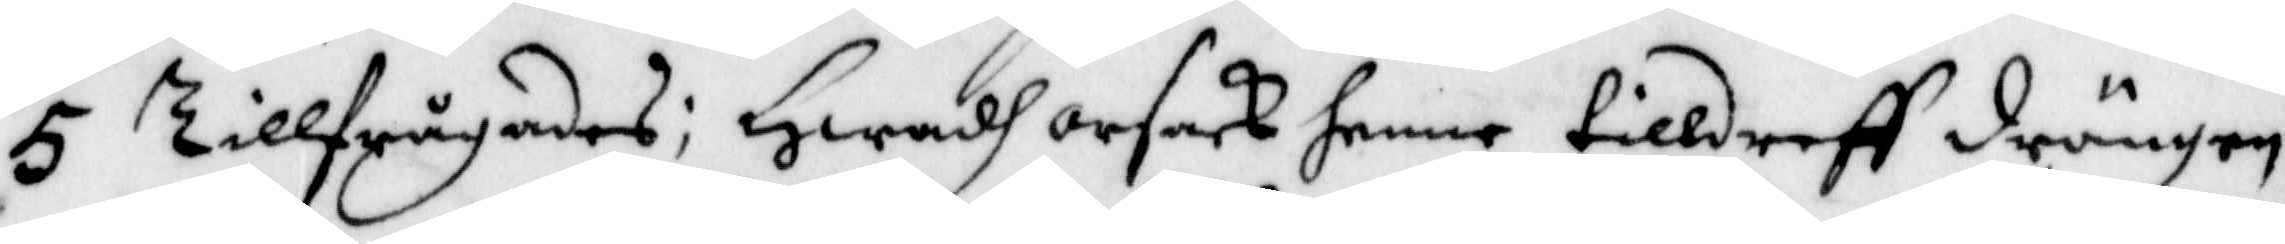5 Tillfrågades: Hwadh orsak henne tilldreff drängen
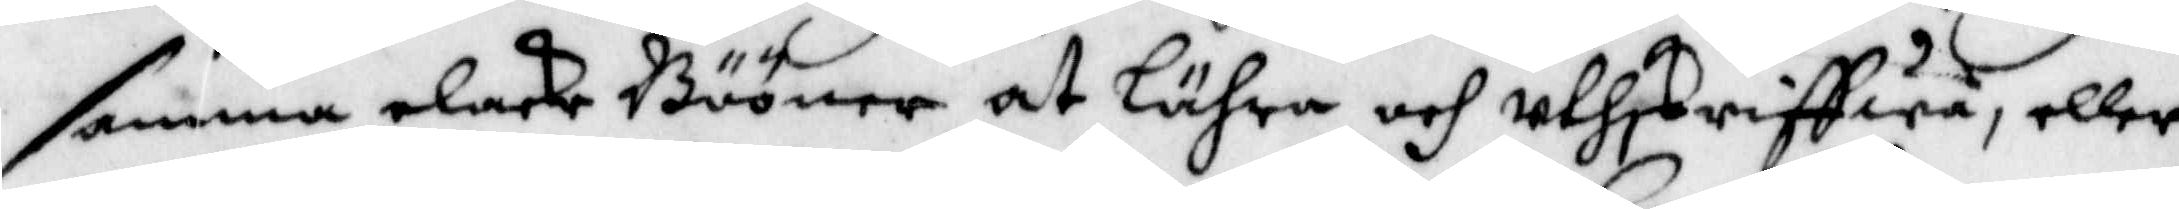samma elake Bööner at Lähra och uthskriffwa, eller
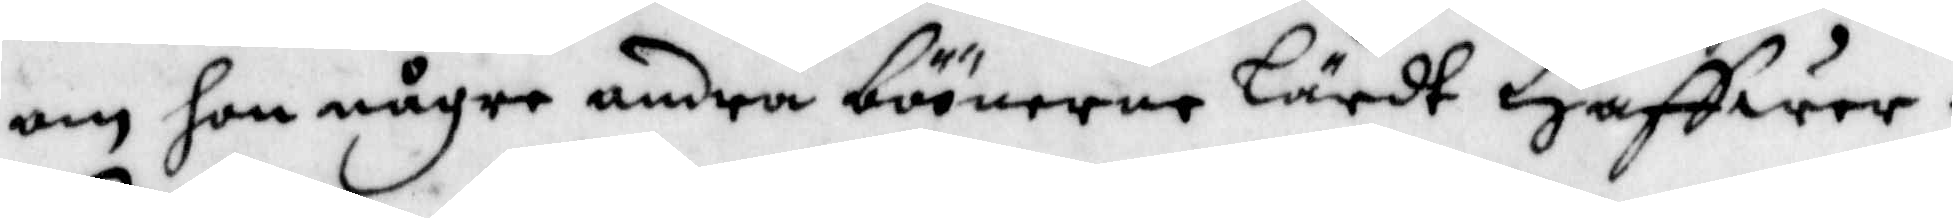om hon någre andra böönerne Lärdt Haffwer.
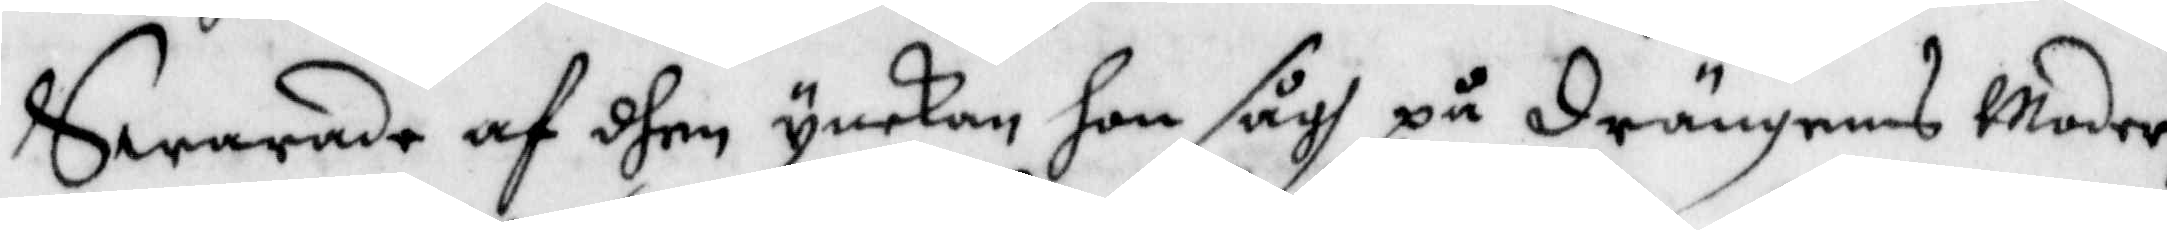Swarade af dhen ynckan hon sågh på Drängens Moder
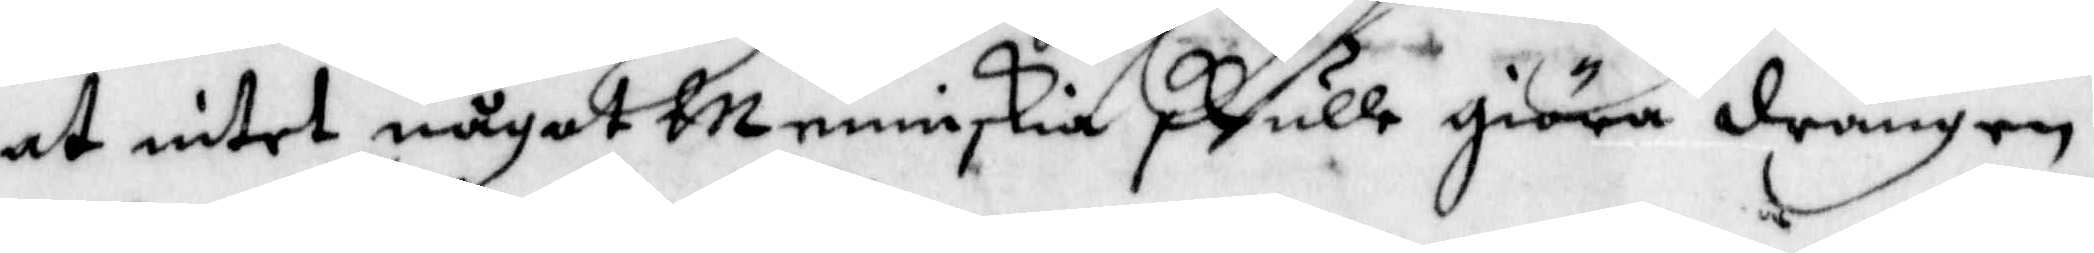at intet något Menniskia skulle giöra drängen
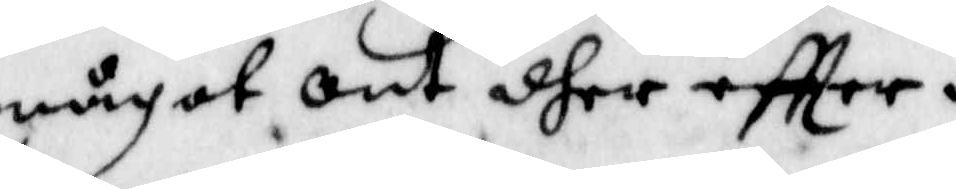något ont dher eftter.
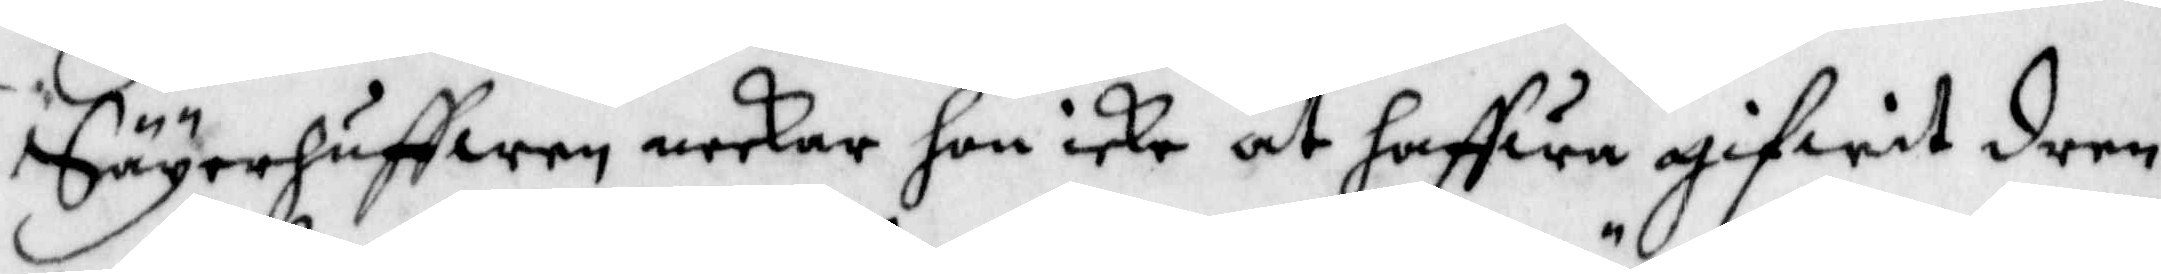Säyerhuffwen neckar hon icke at haffwa gifwit dren¬
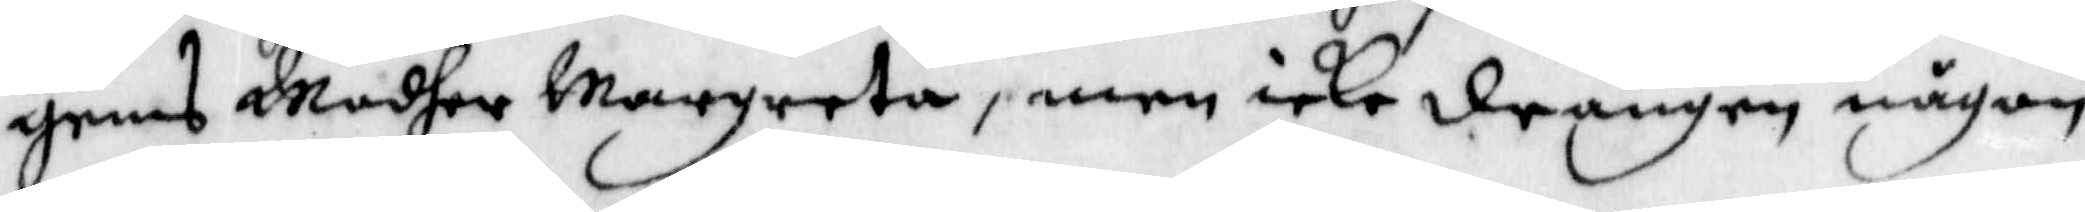gens Modher Margreta, men icke drängen någon
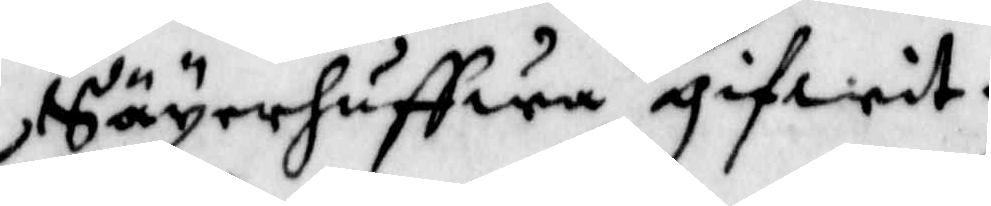Säyerhuffwa gifwit.
